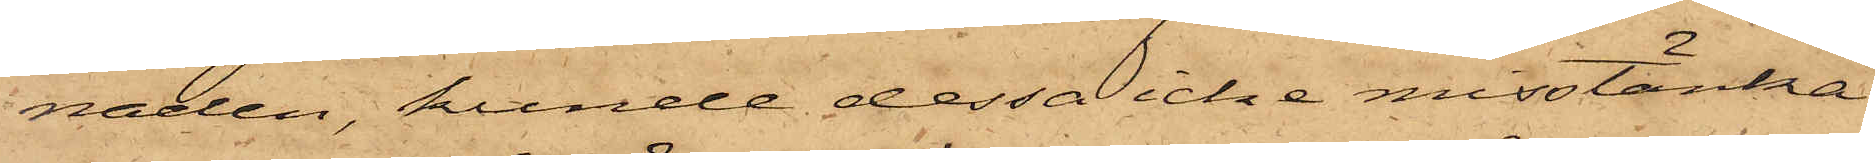naden, kunde dessa icke misstänka
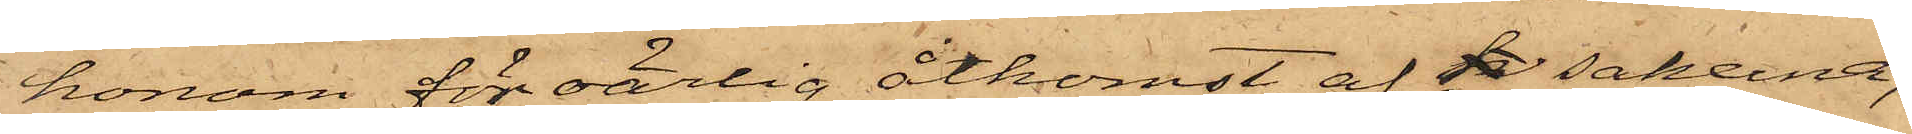honom för oärlig åtkomst af k sakena;
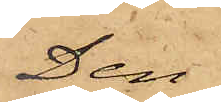Den
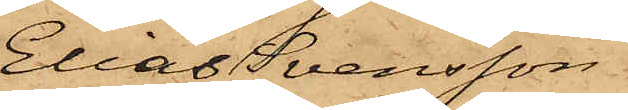Elias Svensson
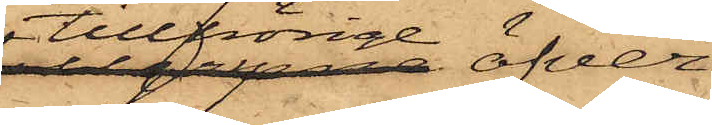tillhörige öfver¬
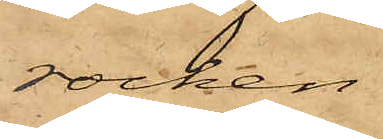rocken
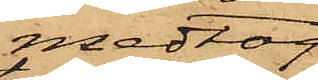medtog
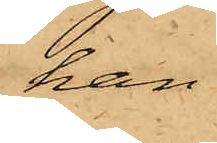han
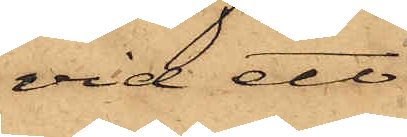vid ett
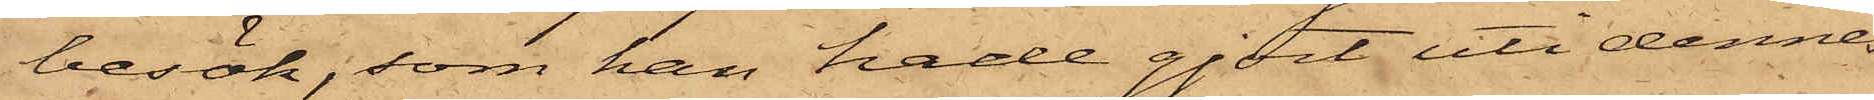besök, som han hade gjort uti dennes
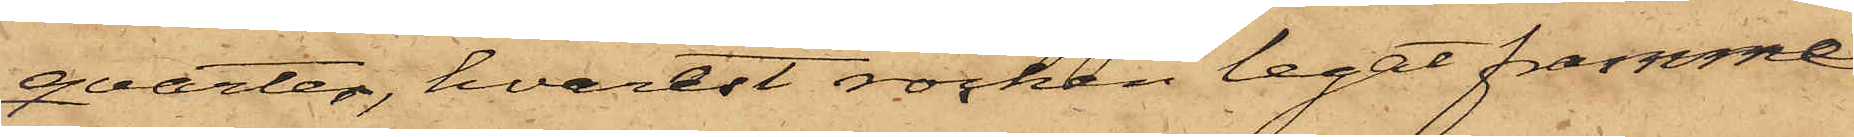qvarter, hvarest rocken legat framme
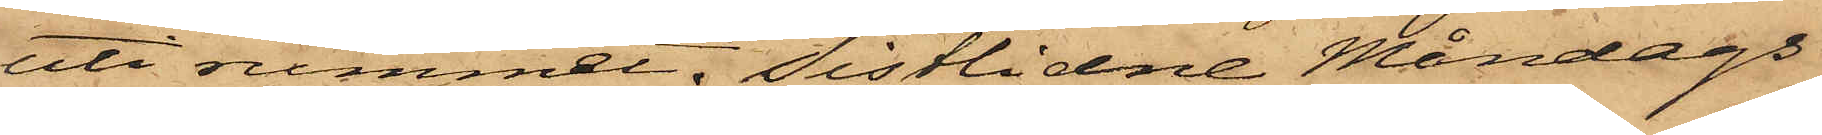uti rummet. Sistlidne Måndags
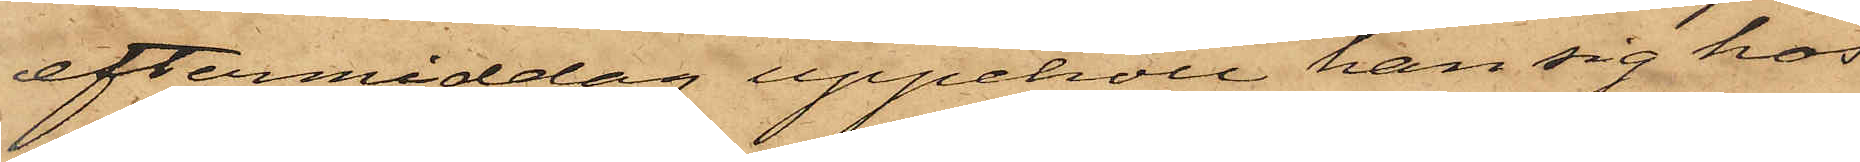eftermiddag uppehöll han sig hos
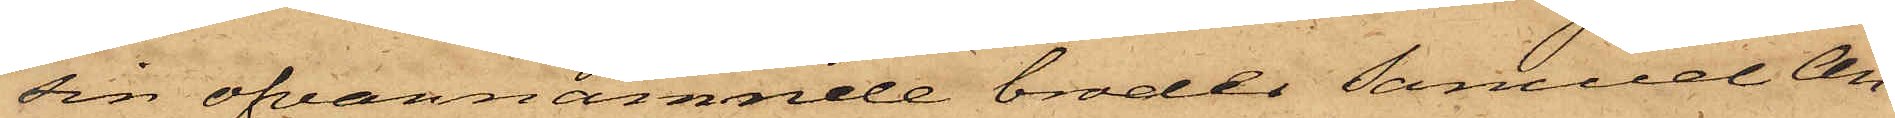sin ofvannämnde broder Samuel An¬
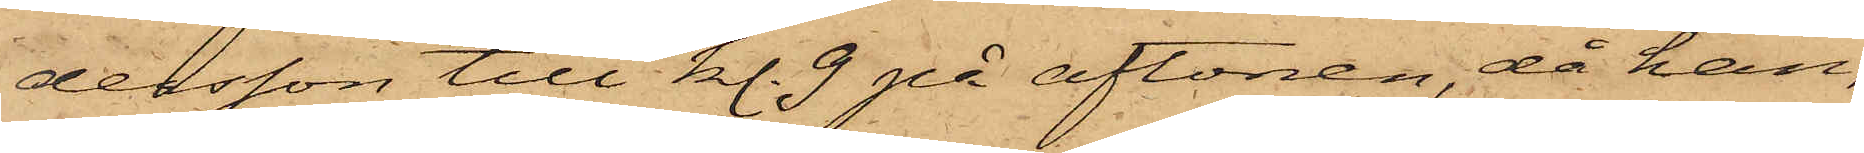dersson till kl. 9 på aftonen, då han,
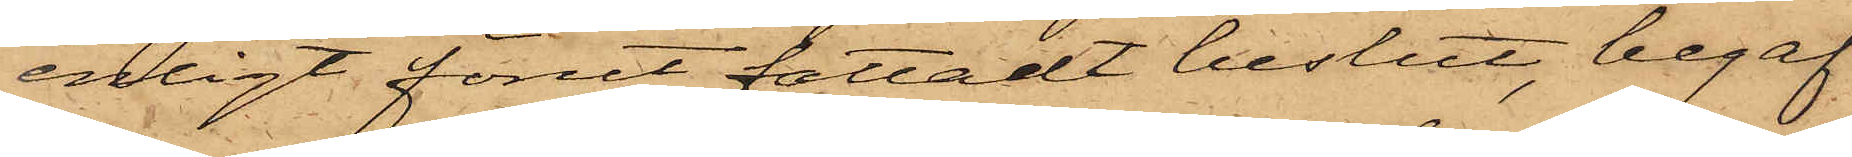enligt förut fattadt beslut, begaf
